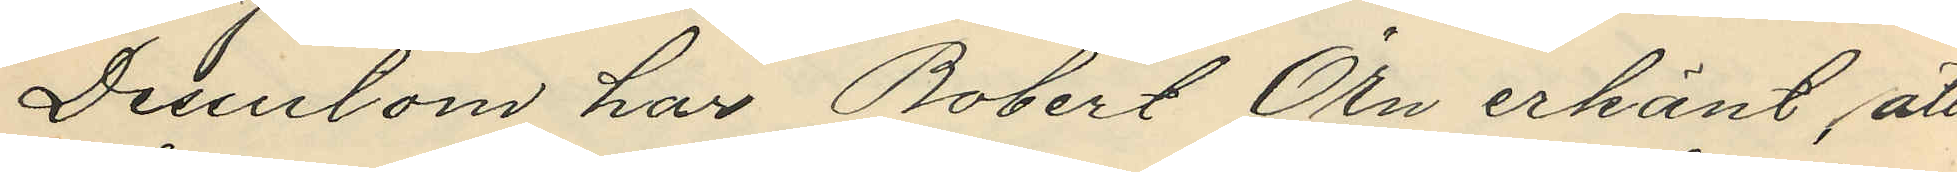Dessutom har Robert Örn erkänt, att
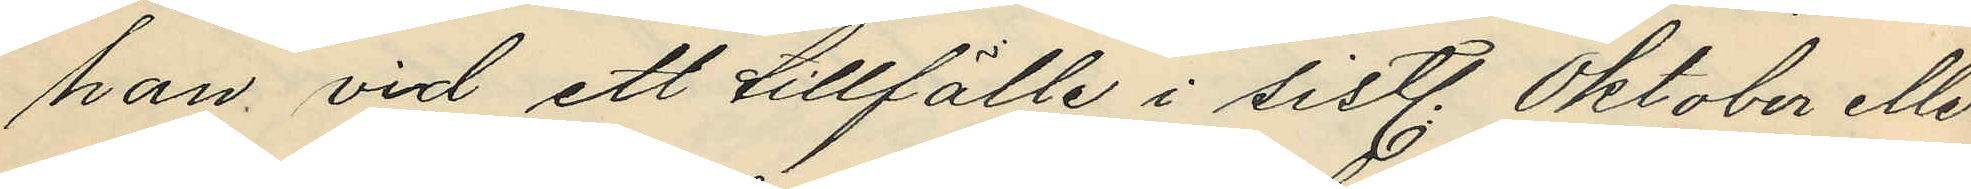han vid ett tillfälle i sistl. Oktober eller
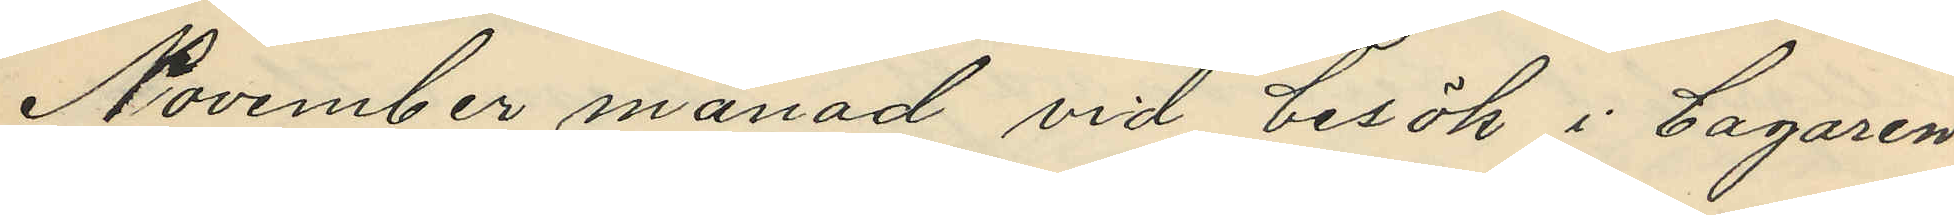November månad vid besök i bagaren
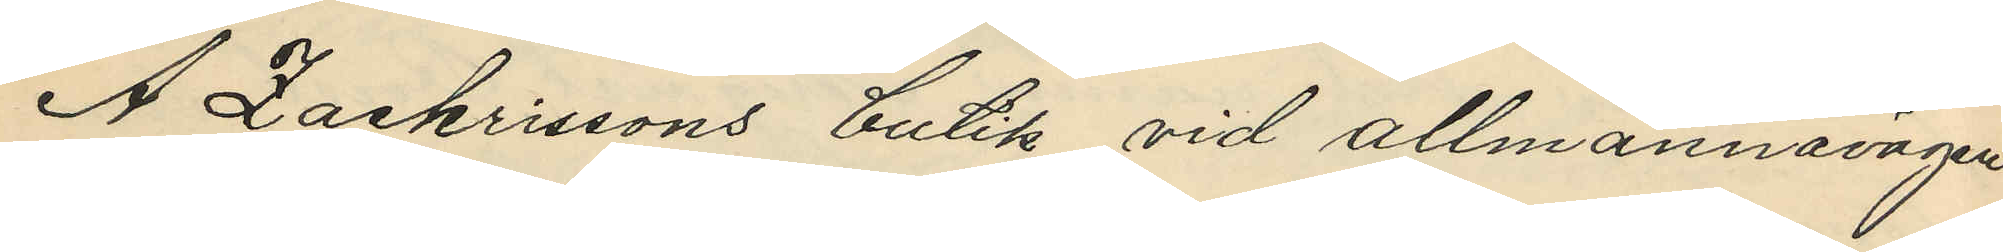A Zackrissons butik vid allmännavägen
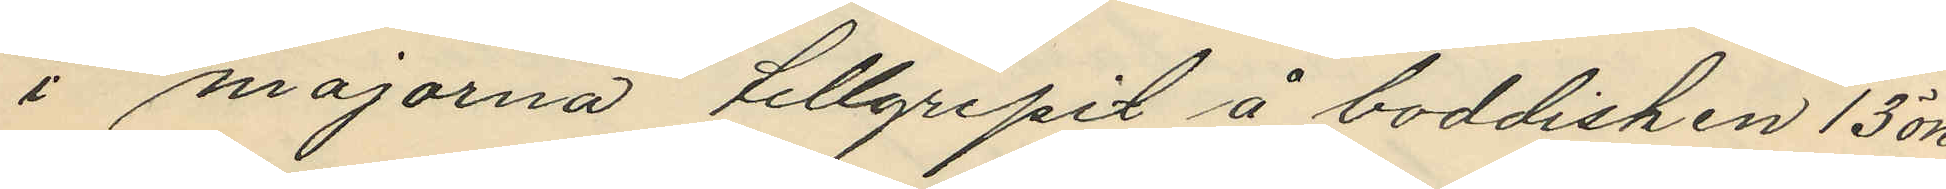i majorna tillgripit å boddisken 13 öre
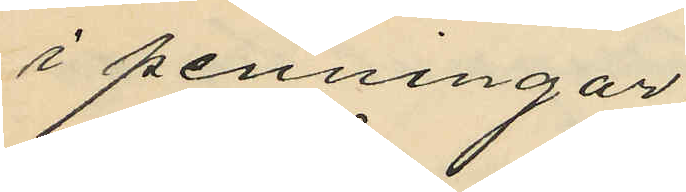i penningar;
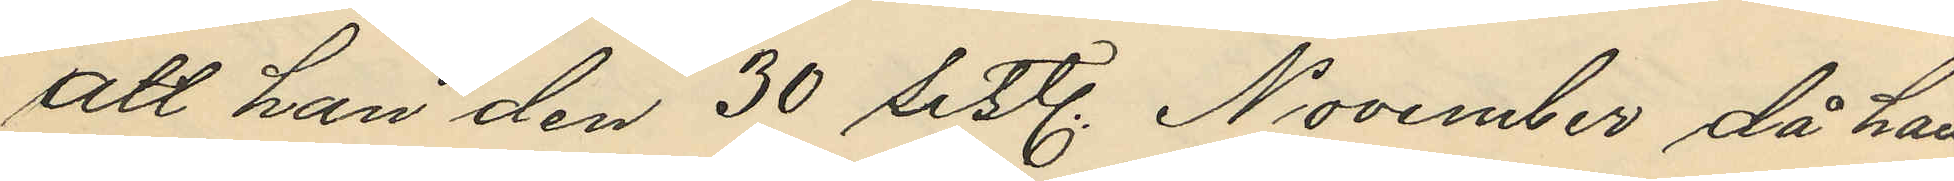att han den 30 sistl. November då han
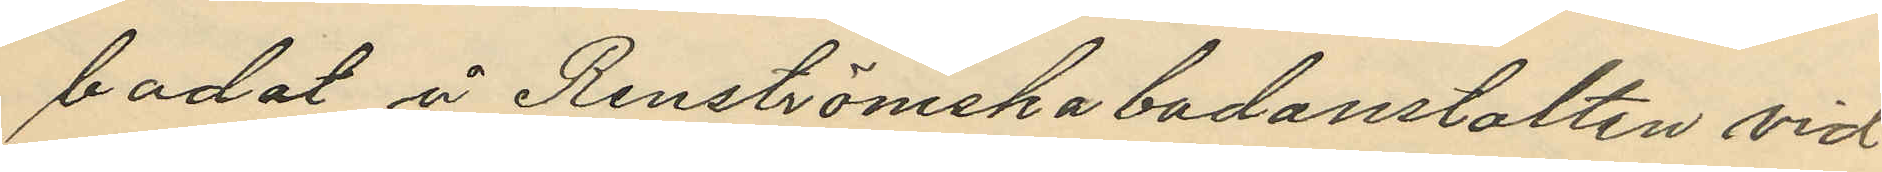badat å Renströmska badanstalten vid
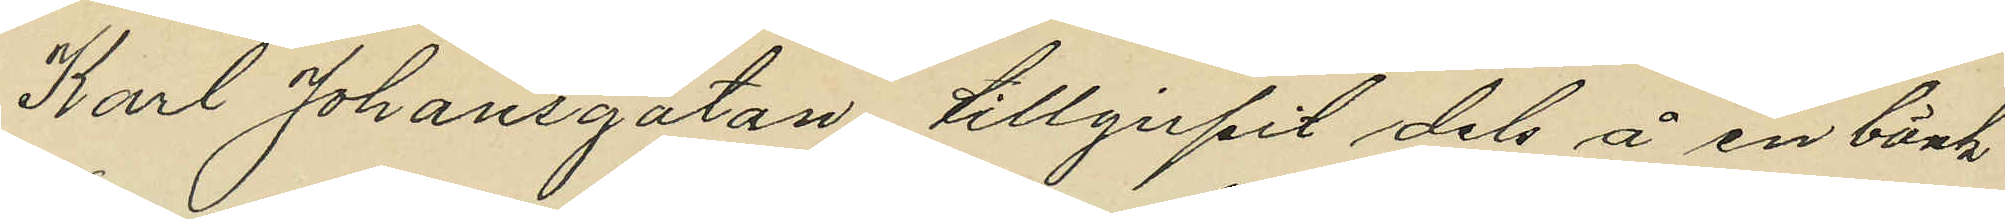Karl Johansgatan, tillgirpit dels å en bänk
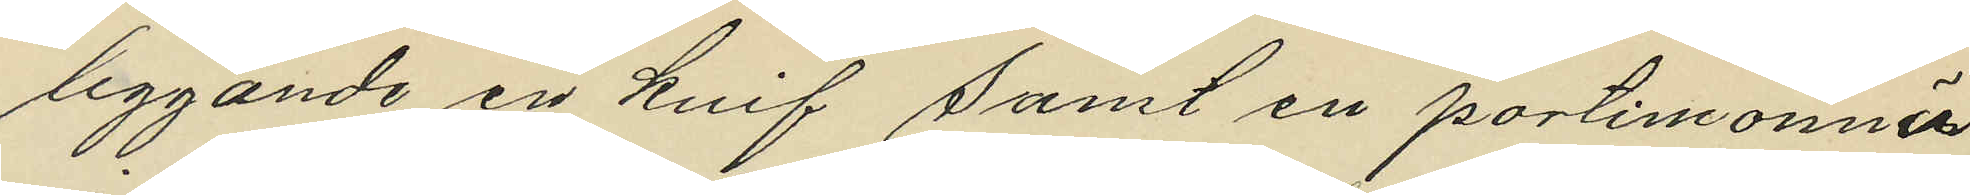liggande en knif samt en portimonnä
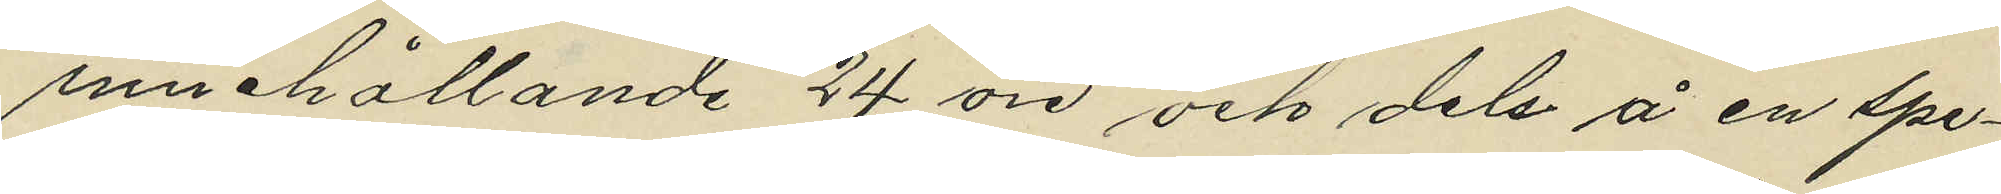innehållande 24 öre och dels å en spe¬
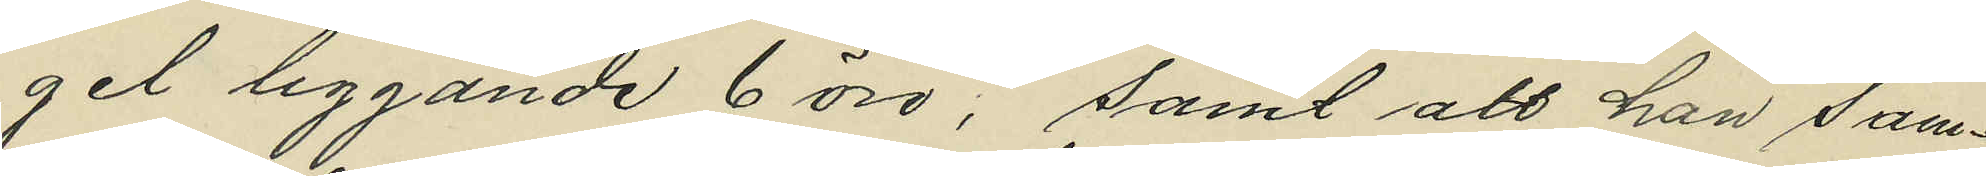gel liggande 6 öre; samt att han sam¬
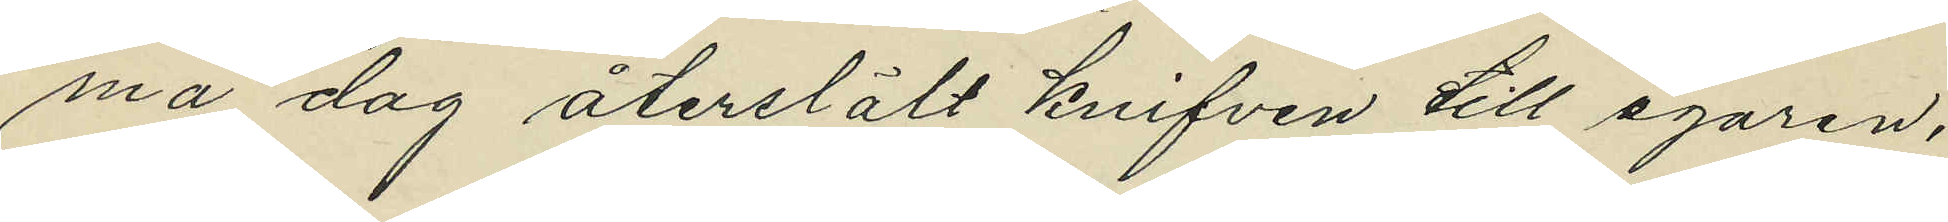ma dag återslält knifven till egaren,
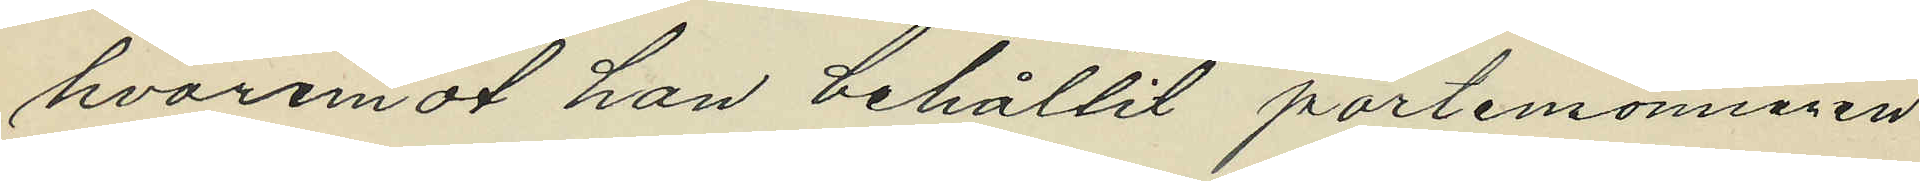hvaremot han behållit portemonneren
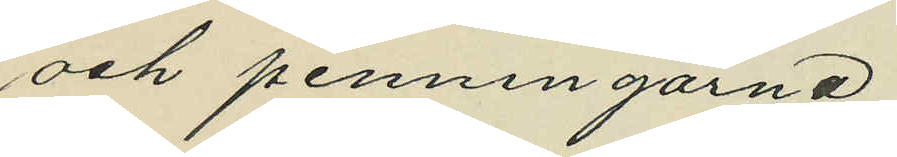och penningarna.
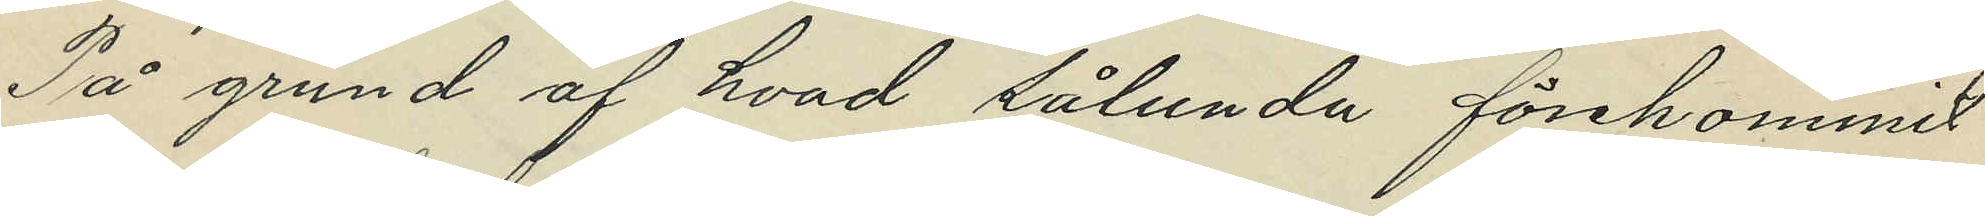På grund af hvad sålunda förekommit
